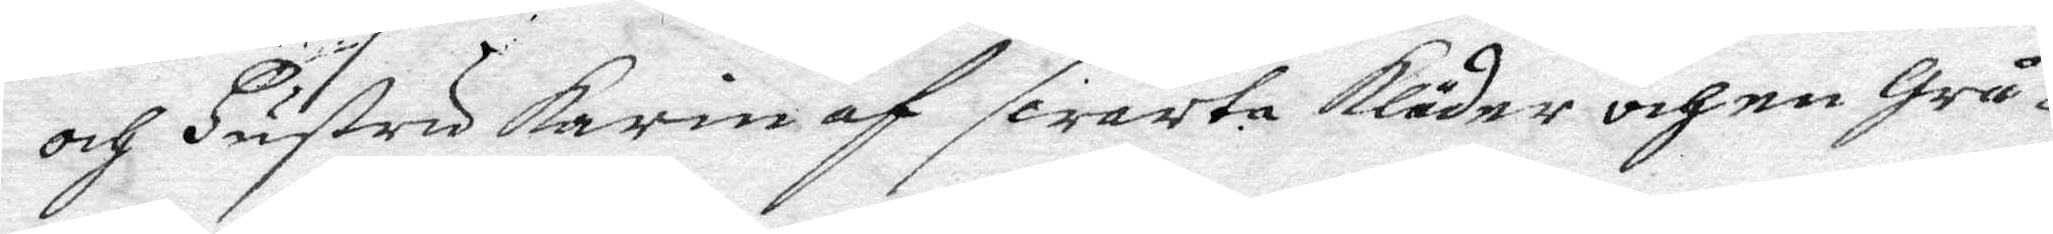och Hustru Karin af swarta Kläder och en Grå
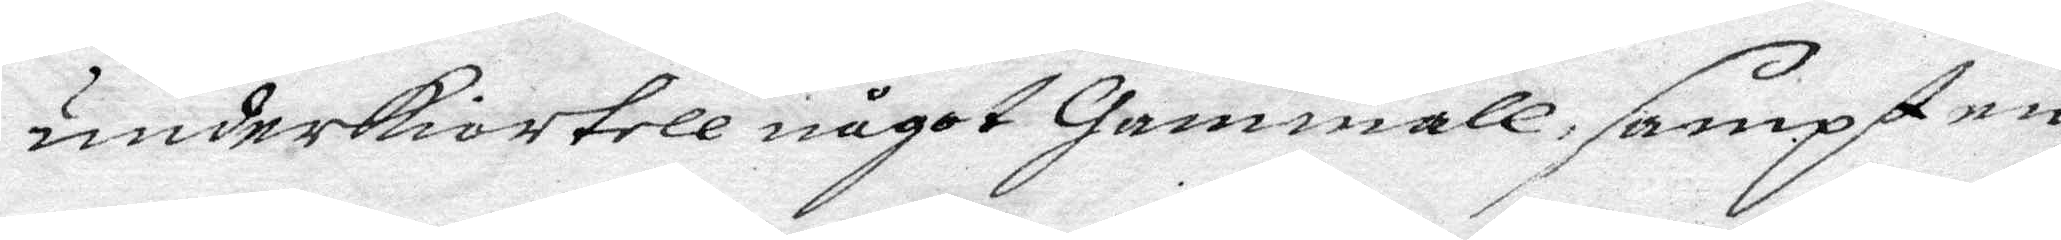underkiotell något Gammall, sampt en
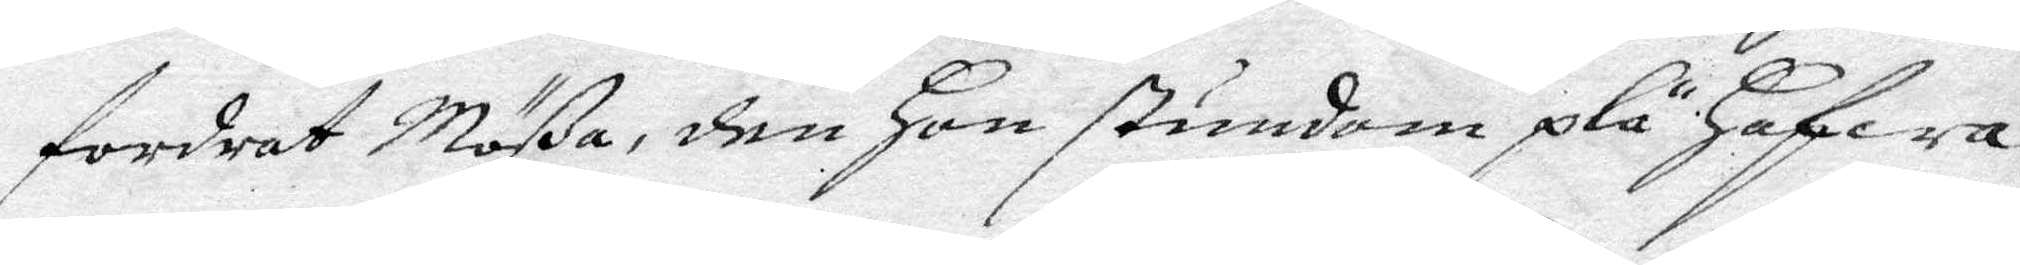fordrat Mößa, den Hon stundom plä Hafwa
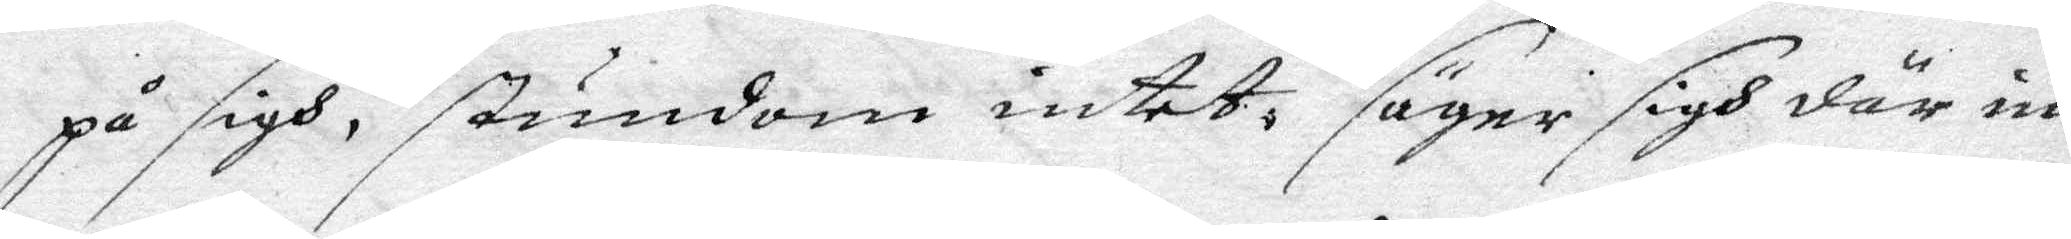på sigh, stundom intet, säyer sigh där in¬
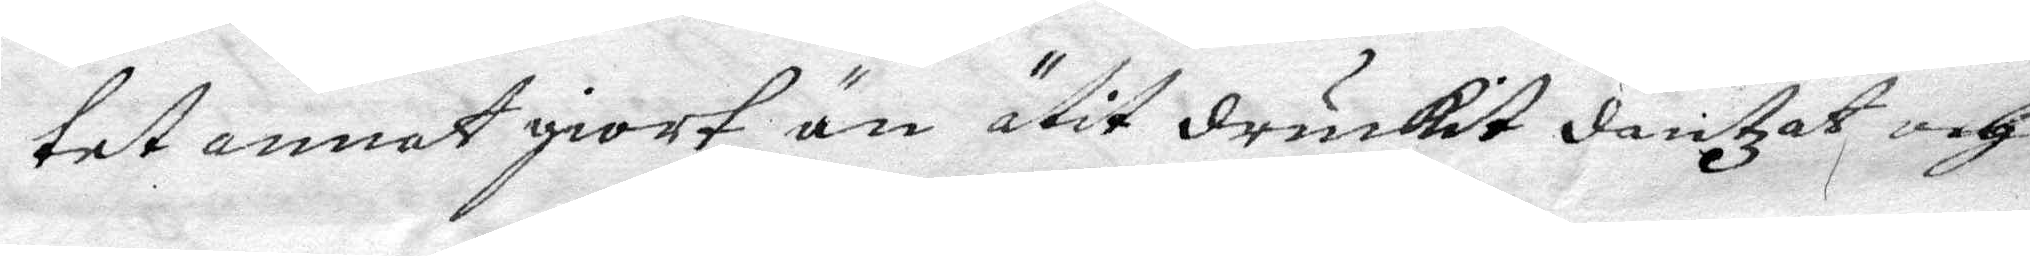tet annat giort än ätit druckit dantzat och 
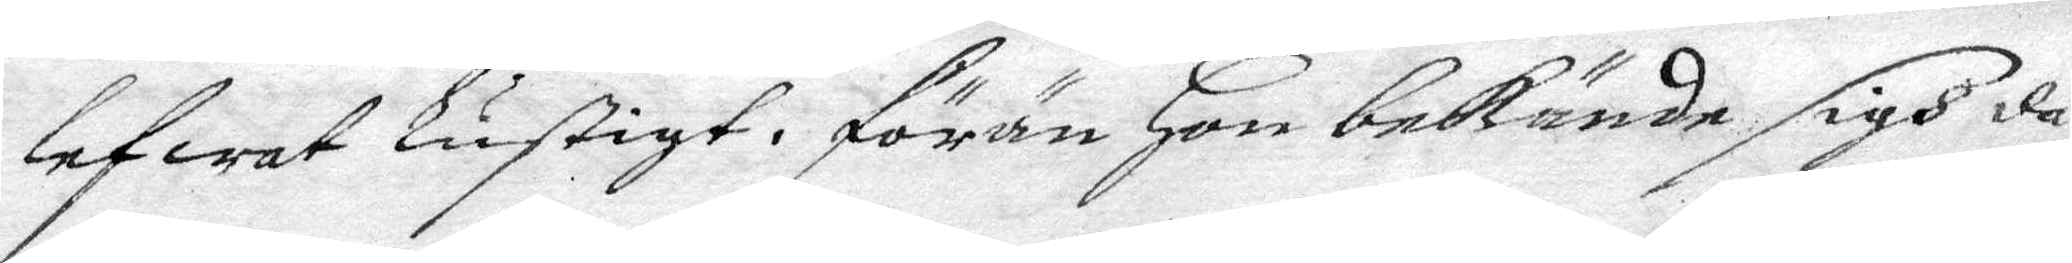lefwat Lustigt, förän Hon bekände sigh då
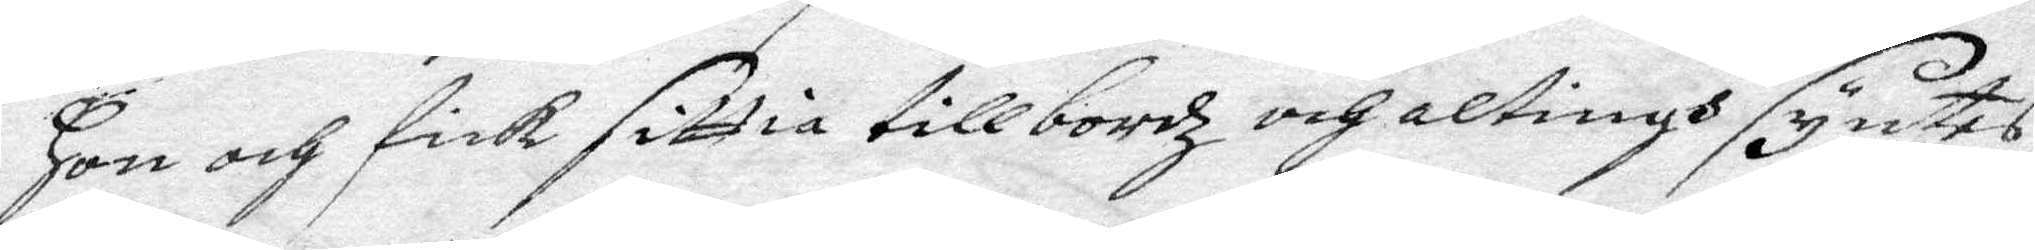Hon och fick sittia till bordz och altings syntes
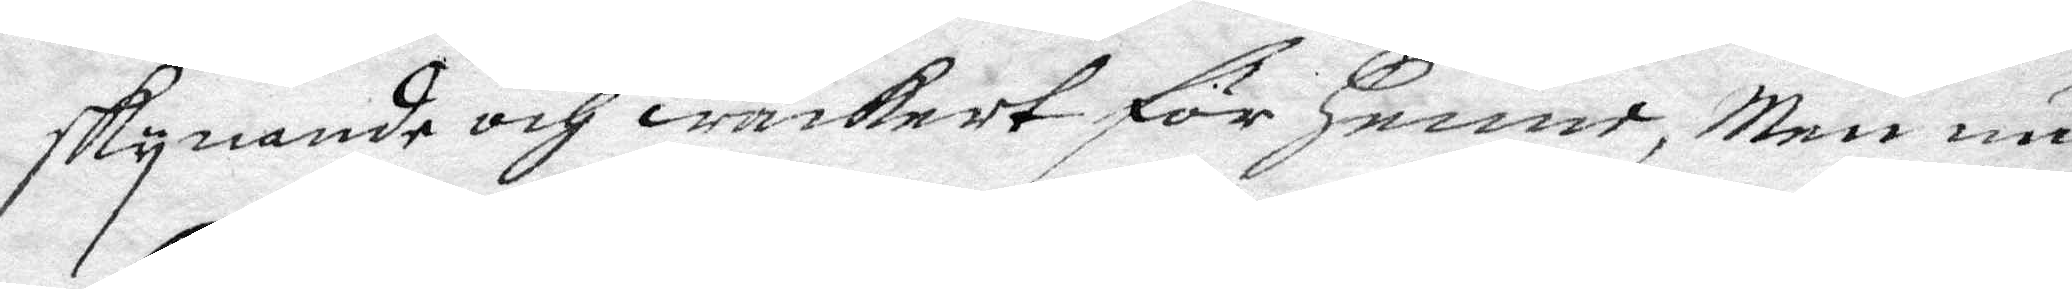skynande och wackert för Henne, Men nu
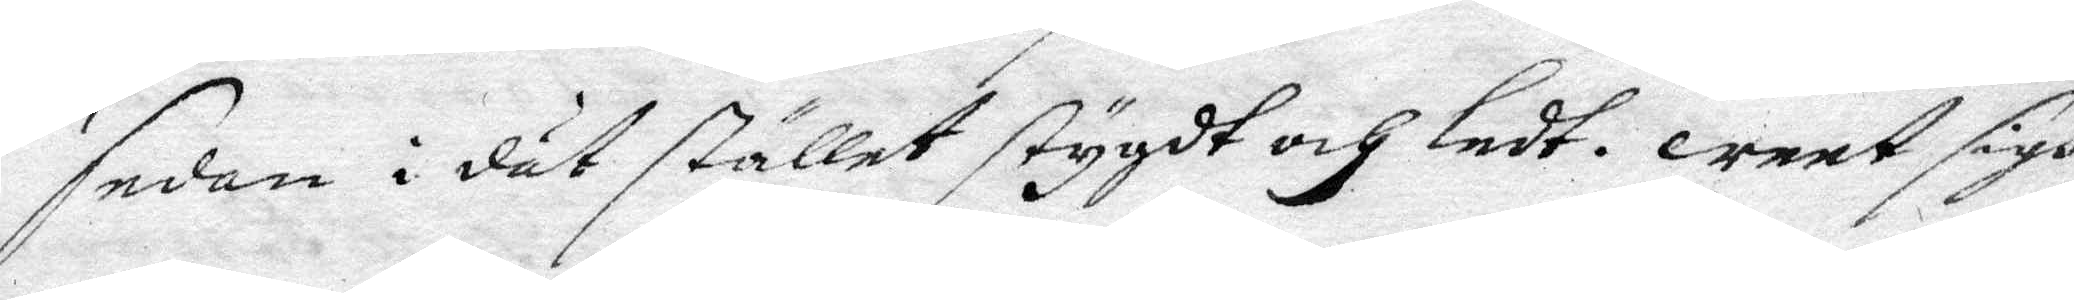sedan i dät stället stygdt och Ledt. weet sigh
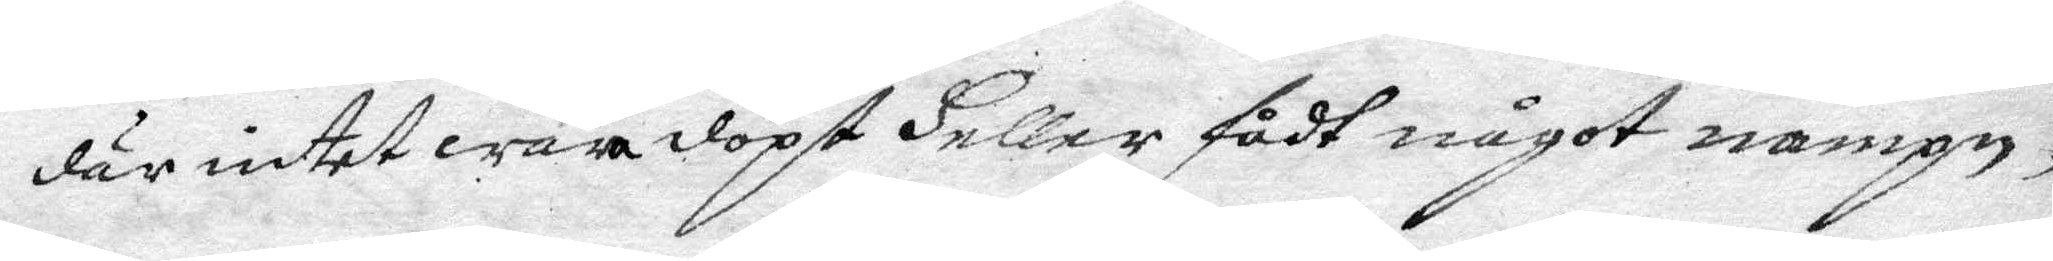där intet wara döpt Heller fådt något nampn,
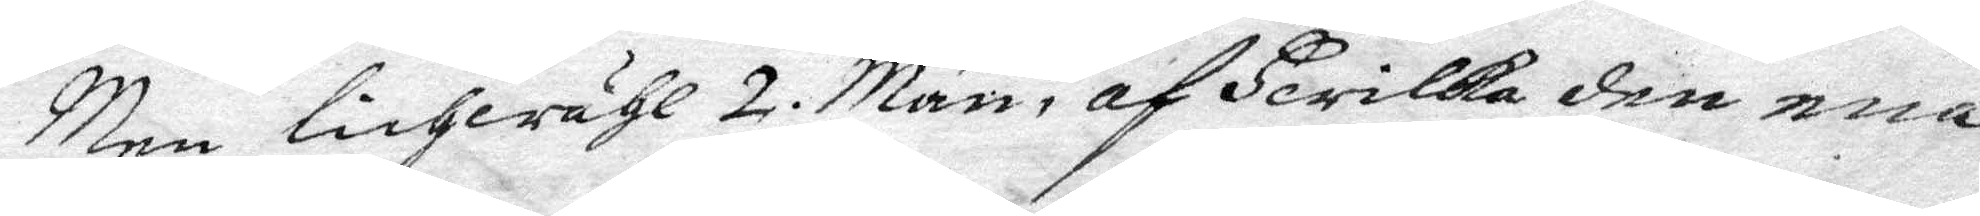Men lichwähl 2 Män, af Hwilka den ena
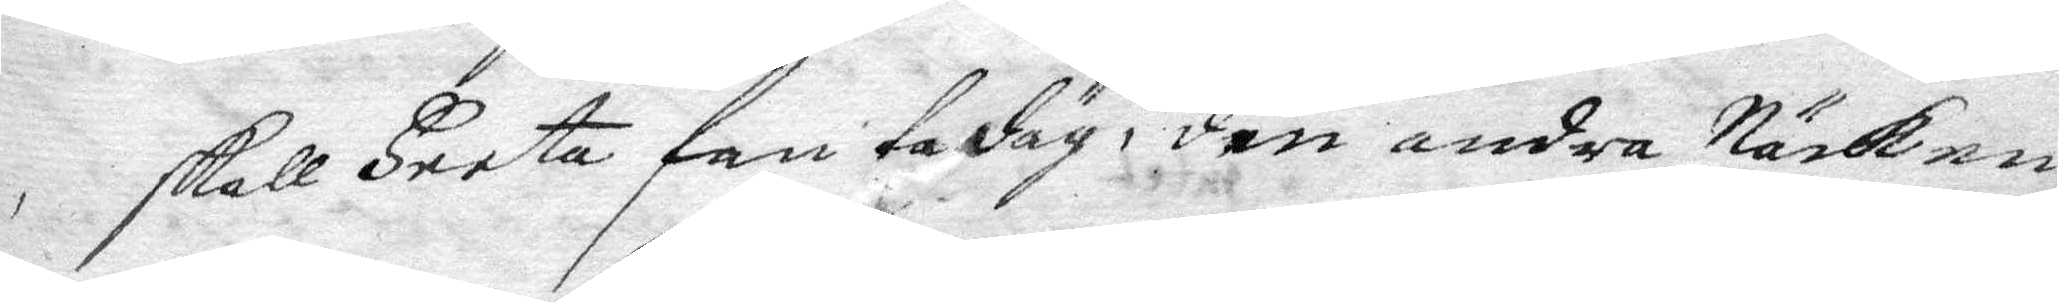skall Heeta fan ta däg, den andra Näcken
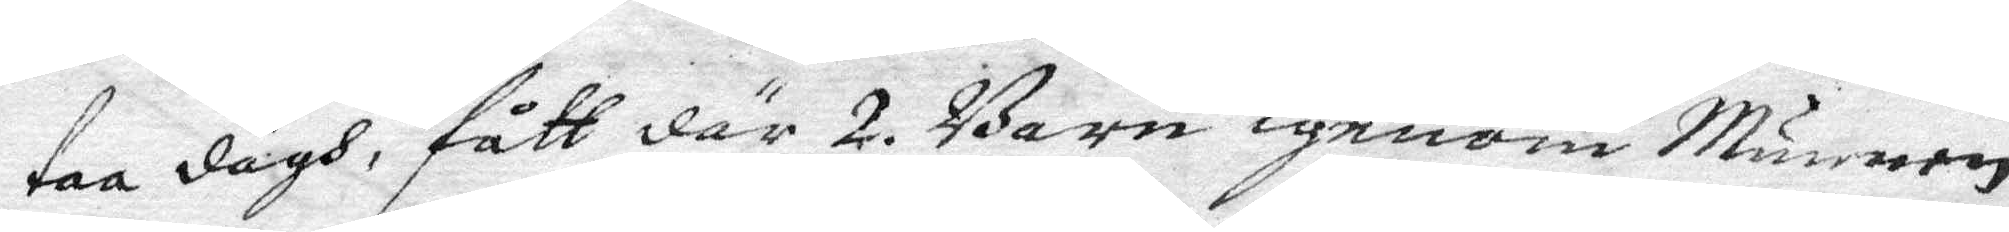taa dägh, fått där 2. Barn igenom Munnen
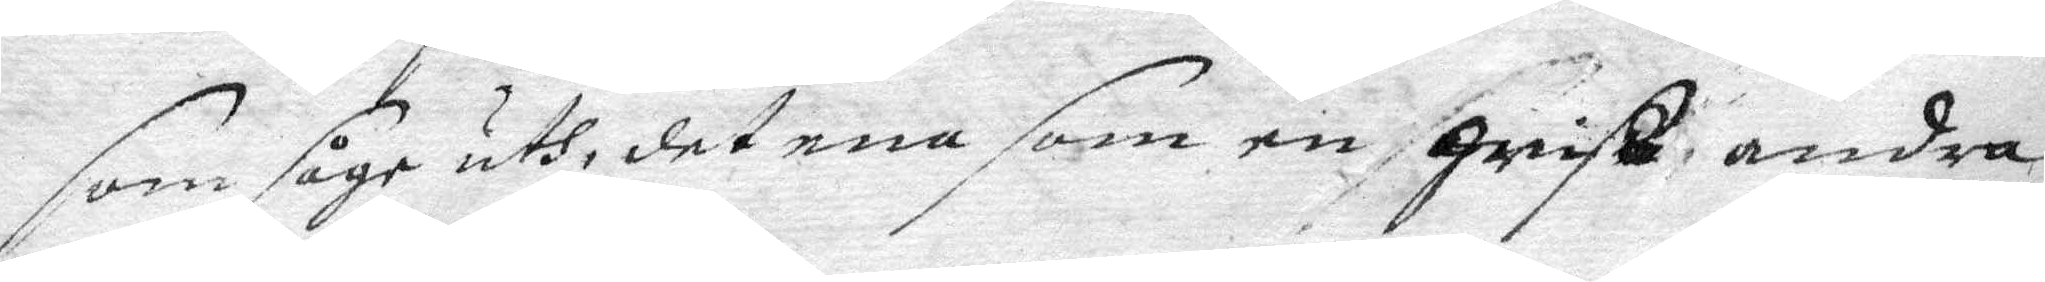som såge uth, det ena som en Gris, andra
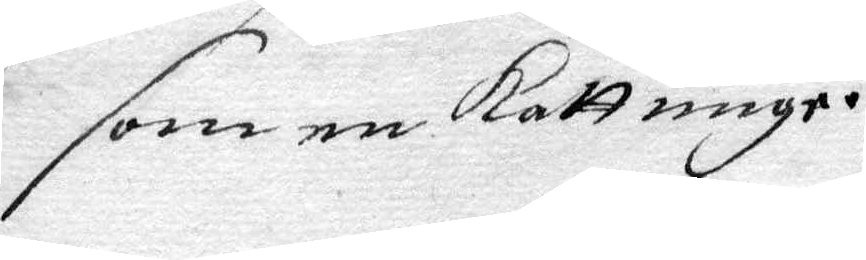som en kattunge.
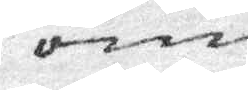som
